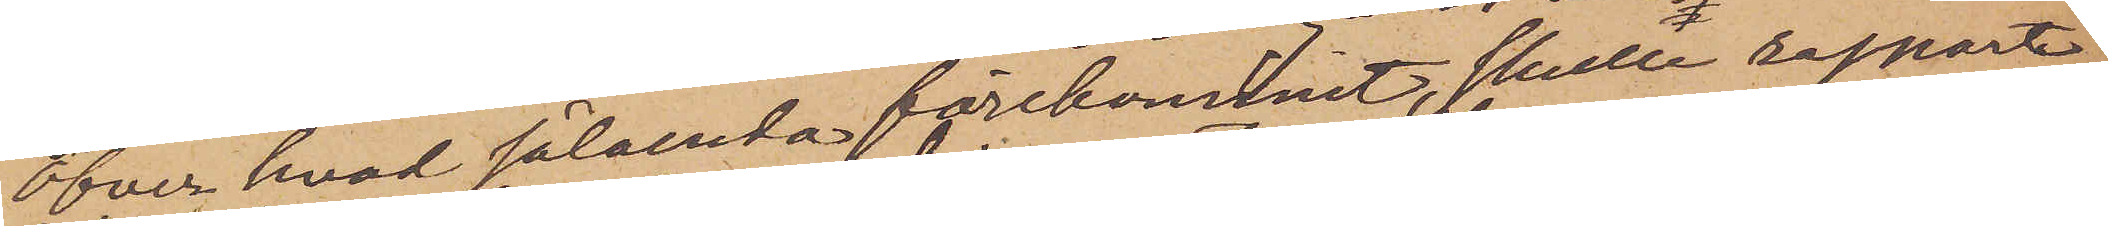Öfver hvad sålunda förekommit, skulle rapport
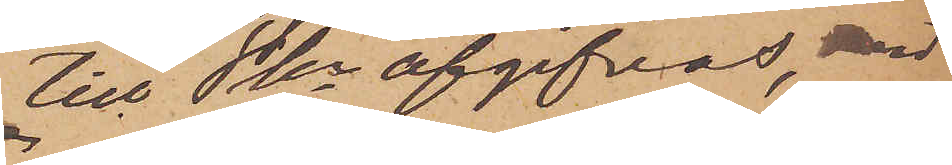till Pkn afgifvas, 
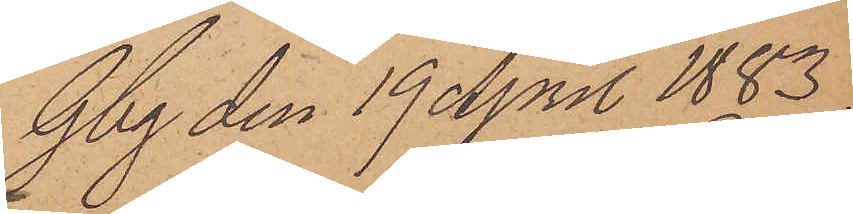Gbg den 19 April 1883.
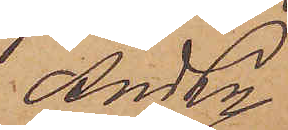And Ln
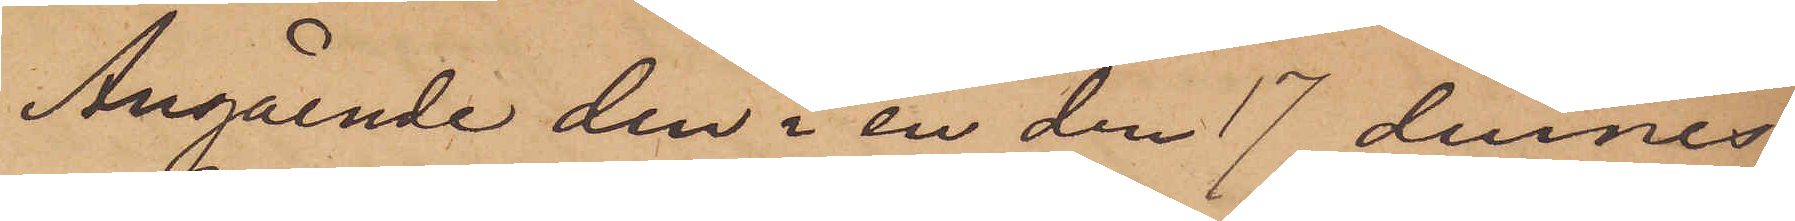Angående den i en den 17 dennes
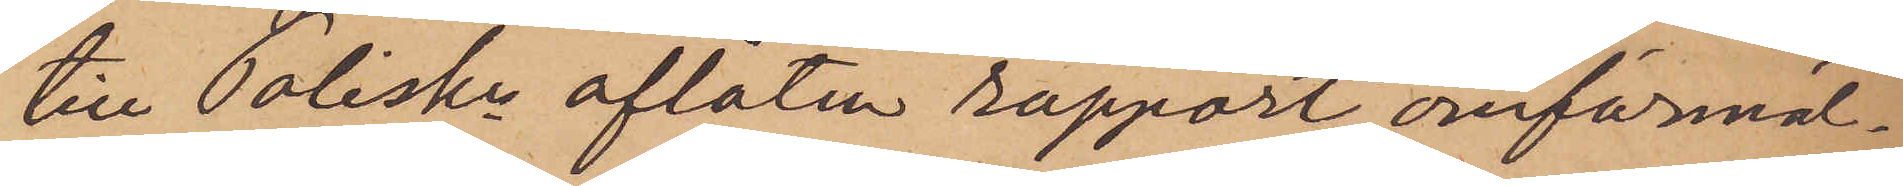till Poliskn aflåten rapport omförmäl¬
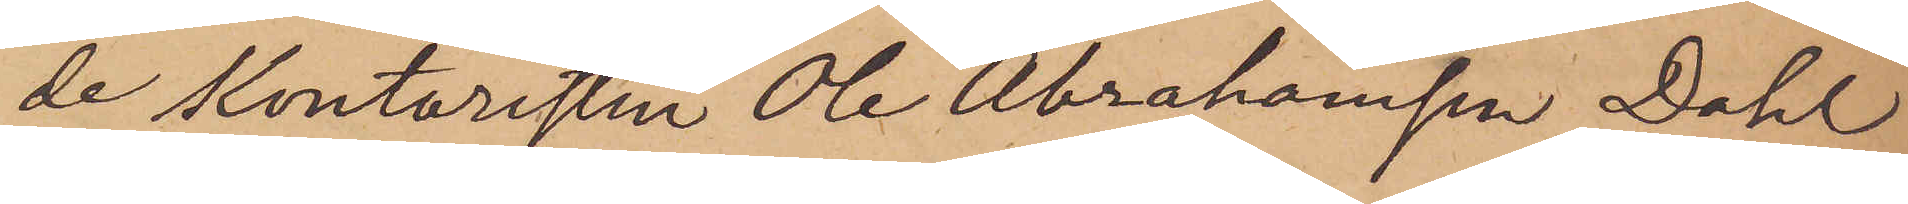de kontoristen Ole Abrahamsen Dahl
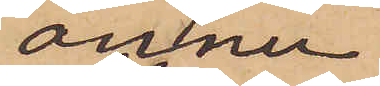ännu
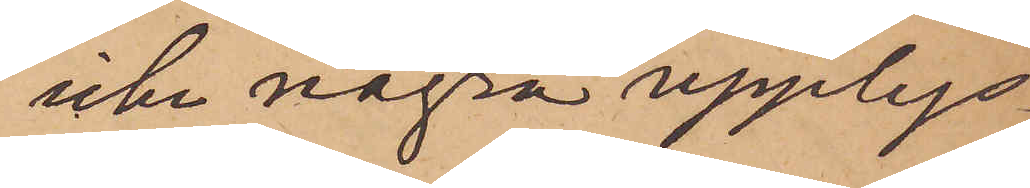icke några upplys¬
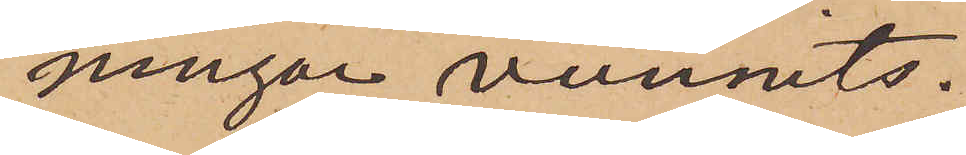ningar vunnits.
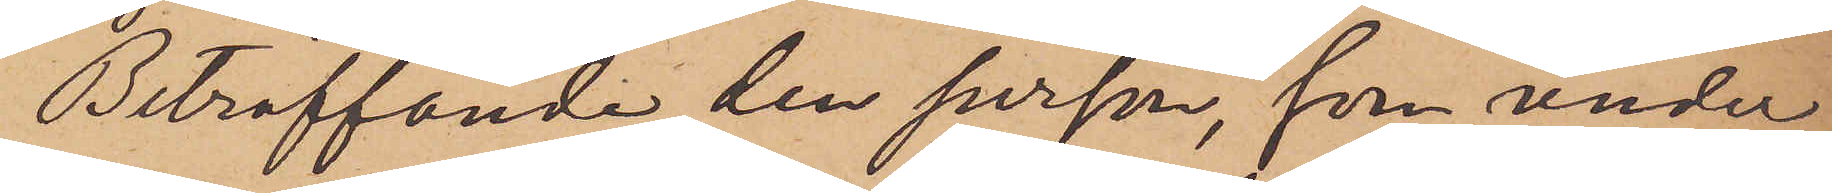Beträffande den person, som under
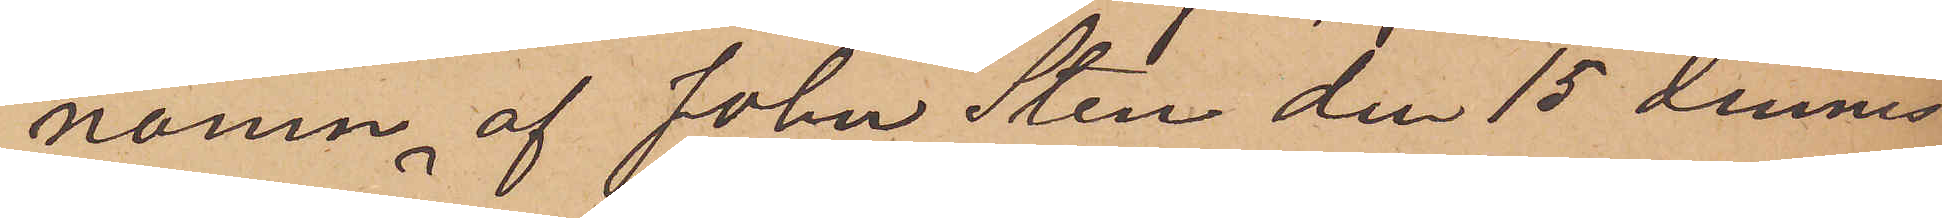namn af John Sten den 15 dennes
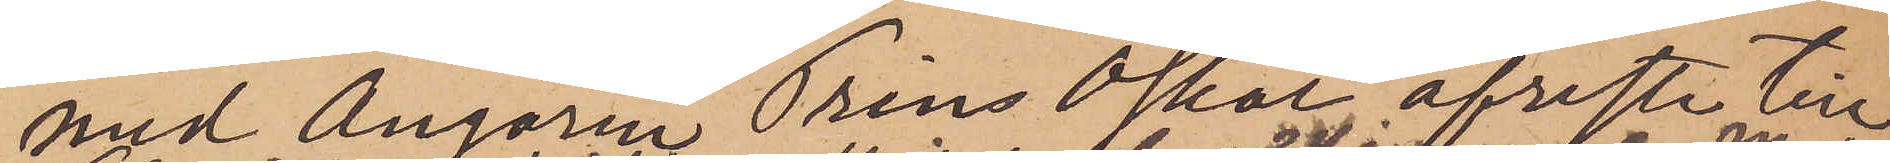med Ångaren Prins Oskar afreste till
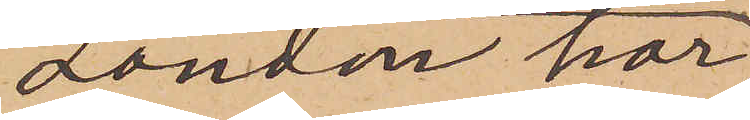London har
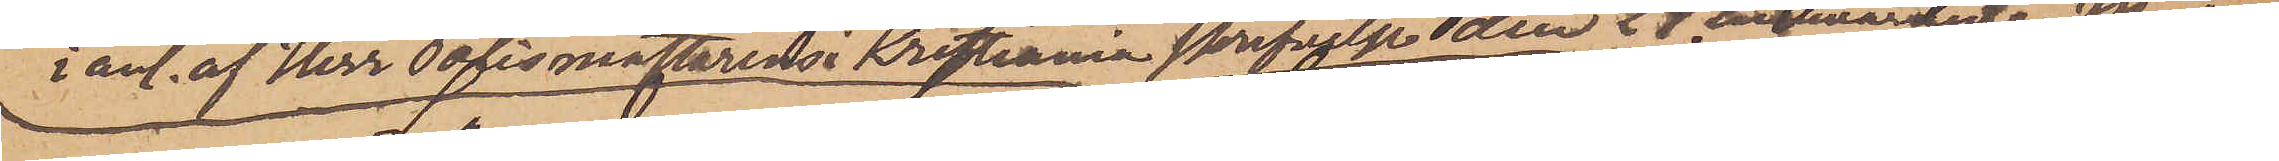i anl. af Herr Polismästaren i Kristiania skrifvelse den 24 innevarande Mars
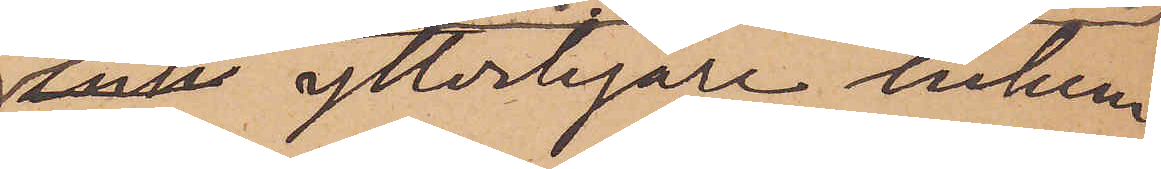ink ytterligare inhem¬
